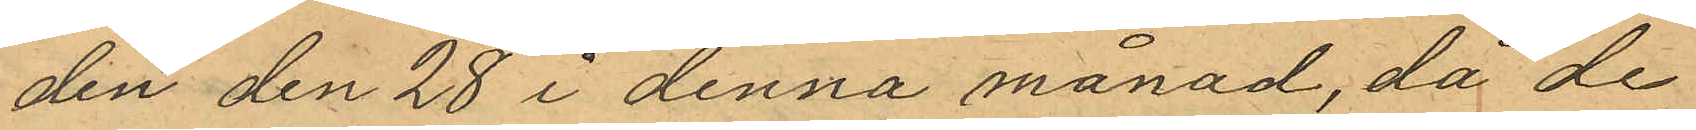den den 28 i denna månad, då de
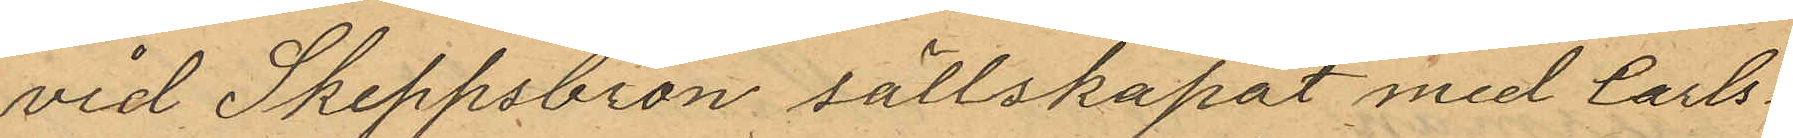vid Skeppsbron sällskapat med Carls¬
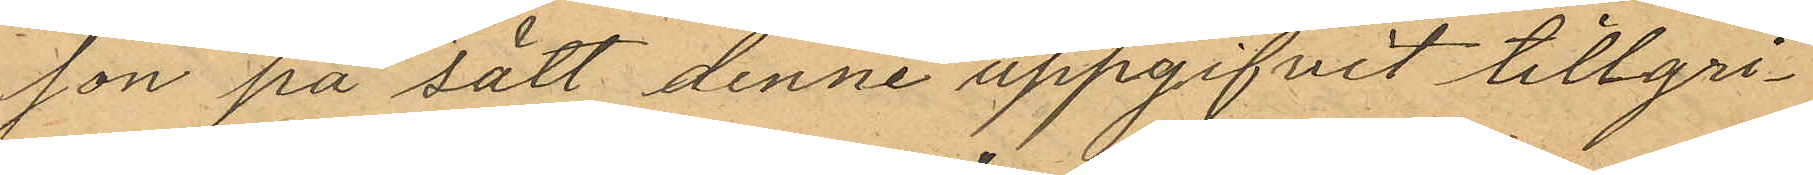son på sätt denne uppgifvit tillgri¬
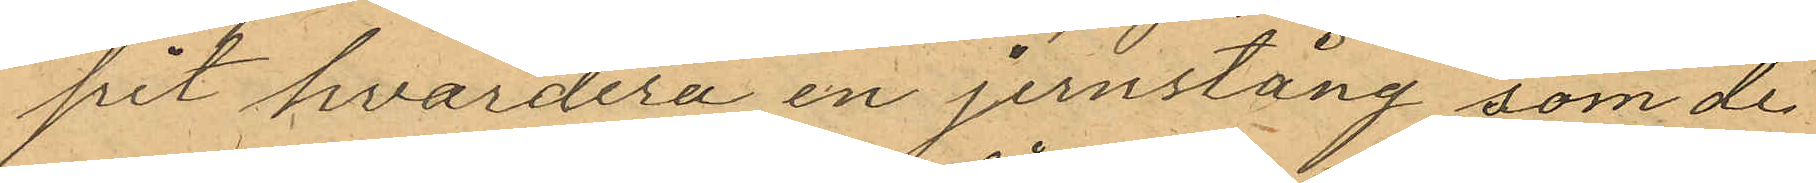pit hvardera en jernstång som de
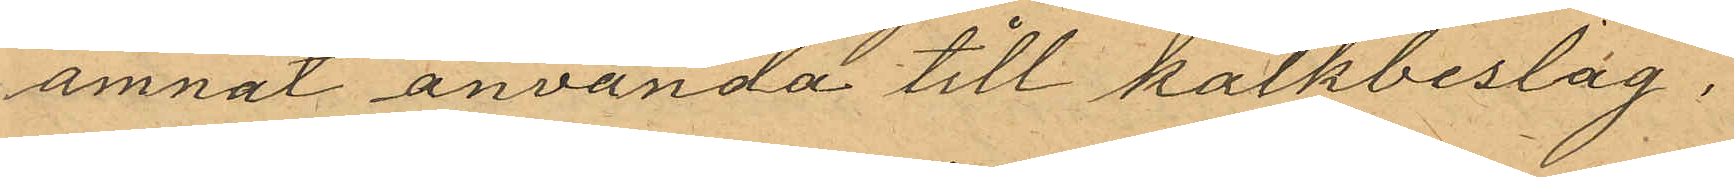ämnat använda till kalkbeslag;
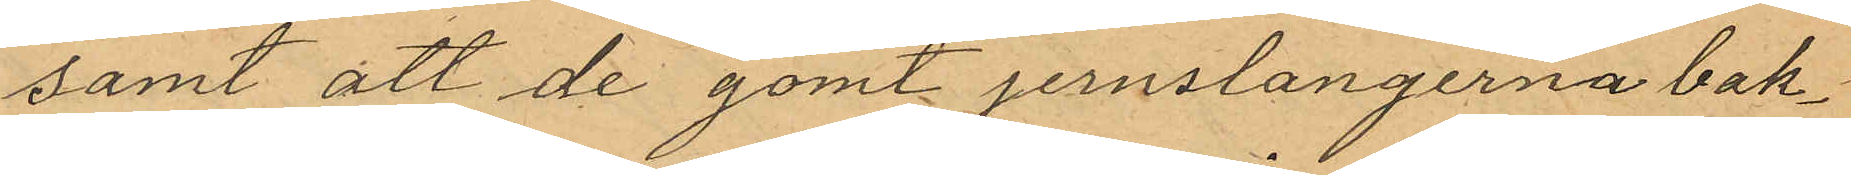samt att de gömt jernslangerna bak¬
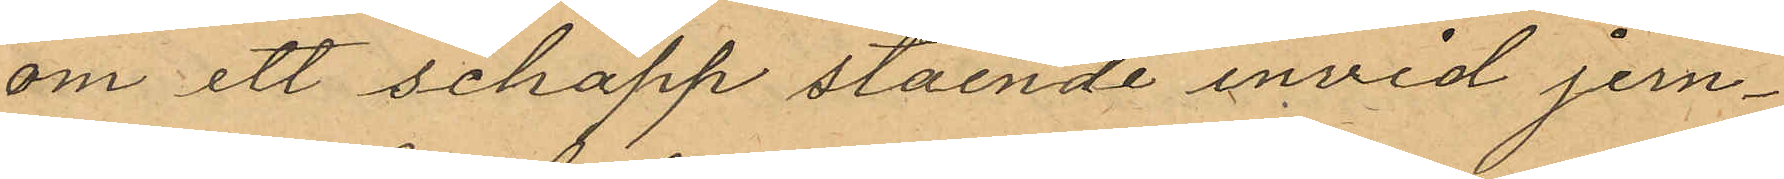om ett schapp stående invid jern¬
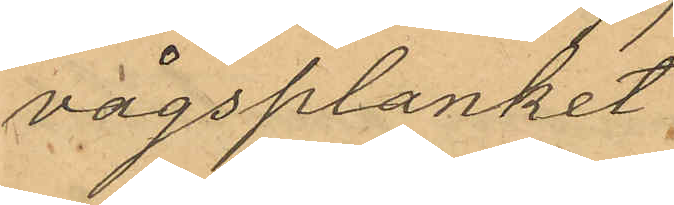vågsplanket.
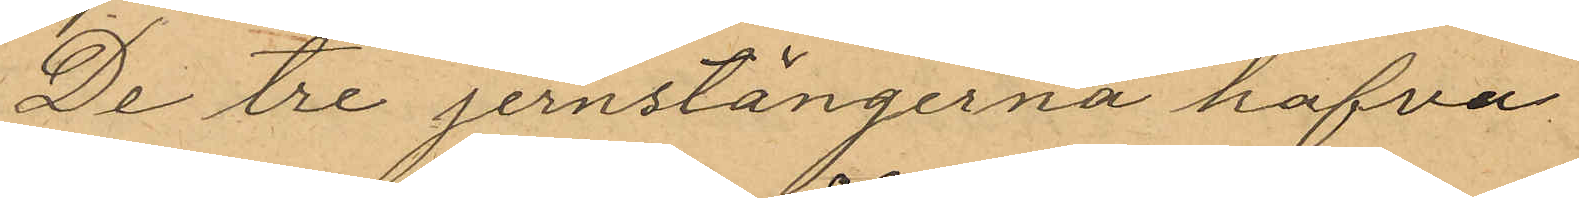De tre jernstängerna hafva
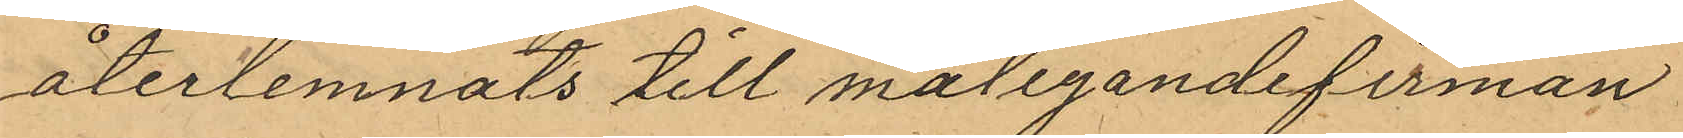återlemnats till målegandefirman
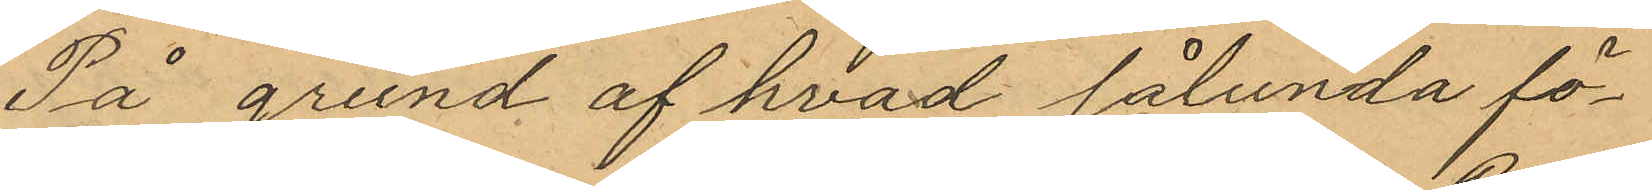På grund af hvad sålunda fö¬
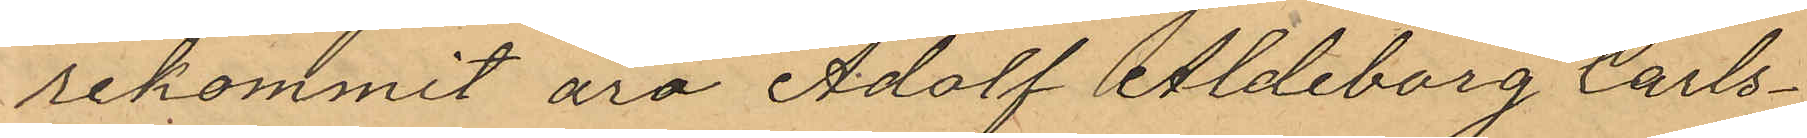rekommit äro Adolf Aldeborg Carls¬
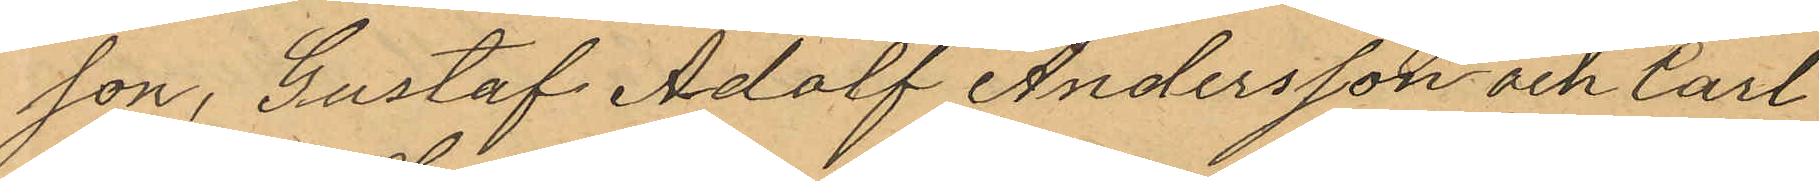son, Gustaf Adolf Andersson och Carl
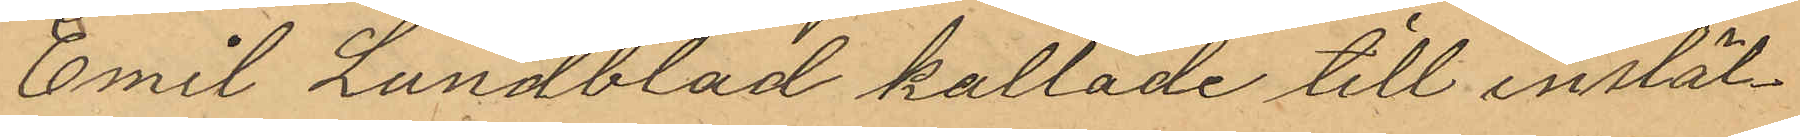Emil Lundblad kallade till instäl¬
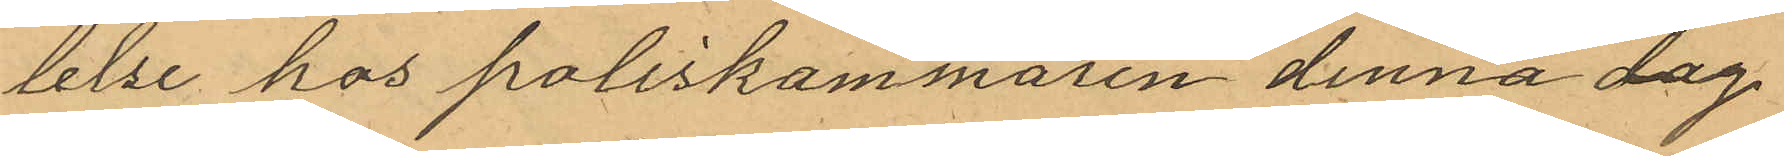lelse hos poliskammaren denna dag
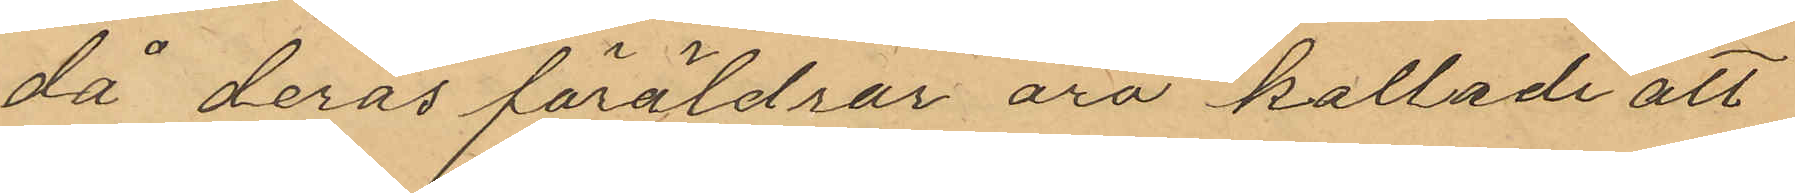då deras föräldrar äro kallade att
